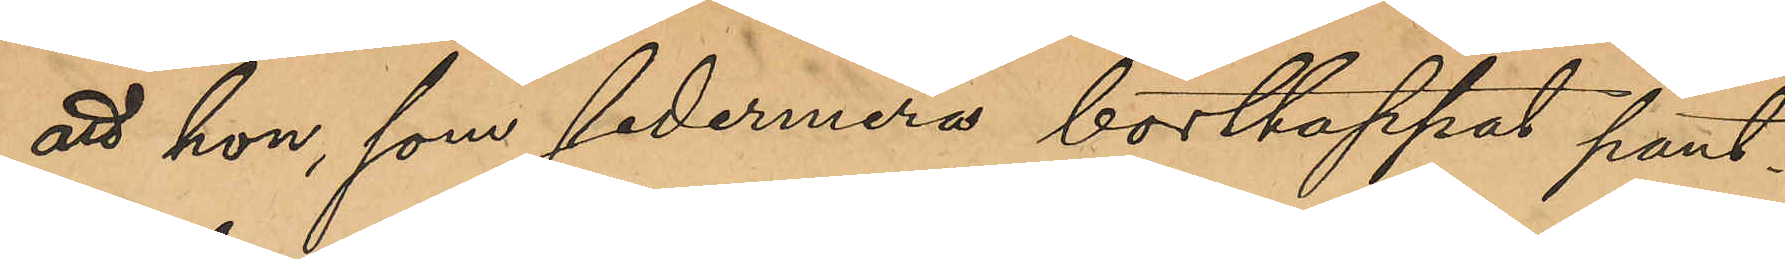att hon, som sedermera borttappat pant¬
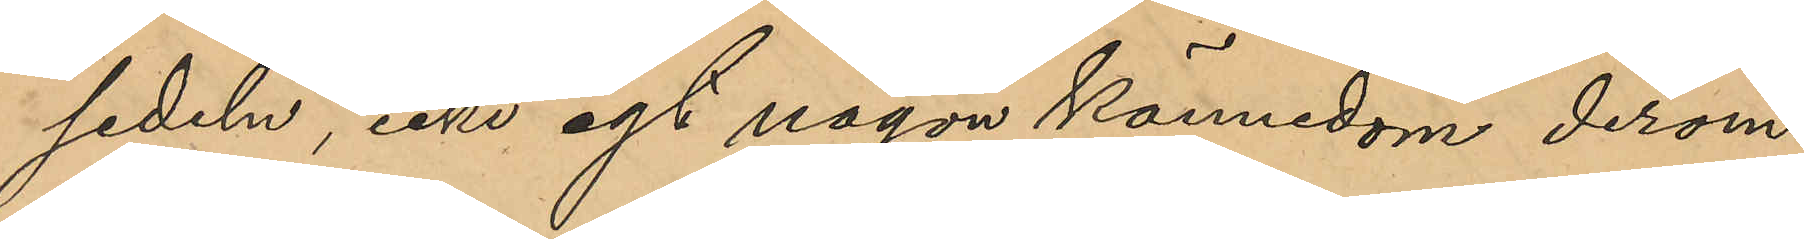sedeln, icke egt någon kännedom derom
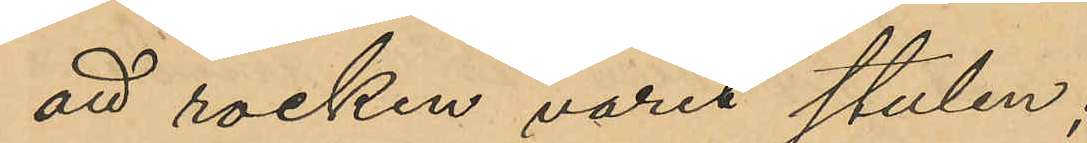att rocken varit stulen;
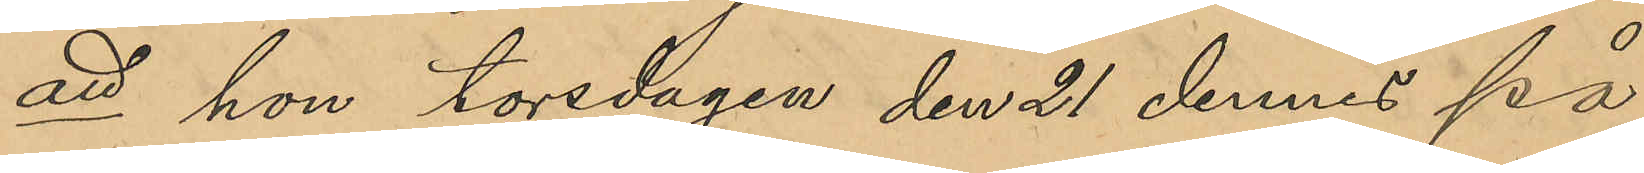att hon torsdagen den 21 dennes på
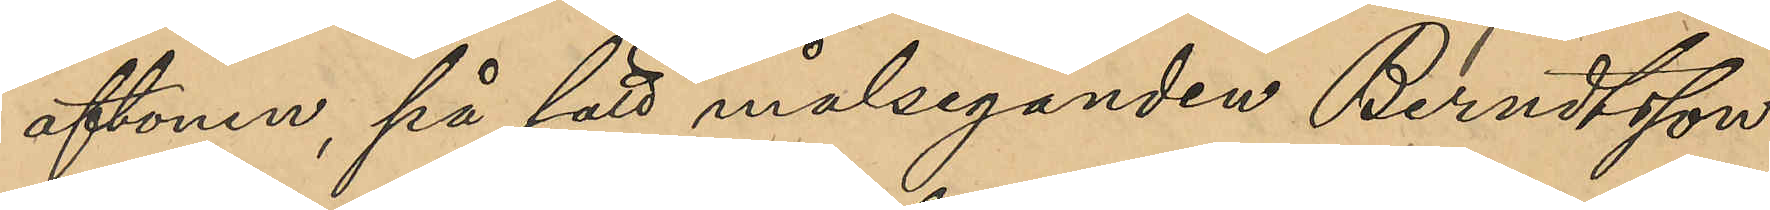aftonen, på sätt målseganden Berndtsson
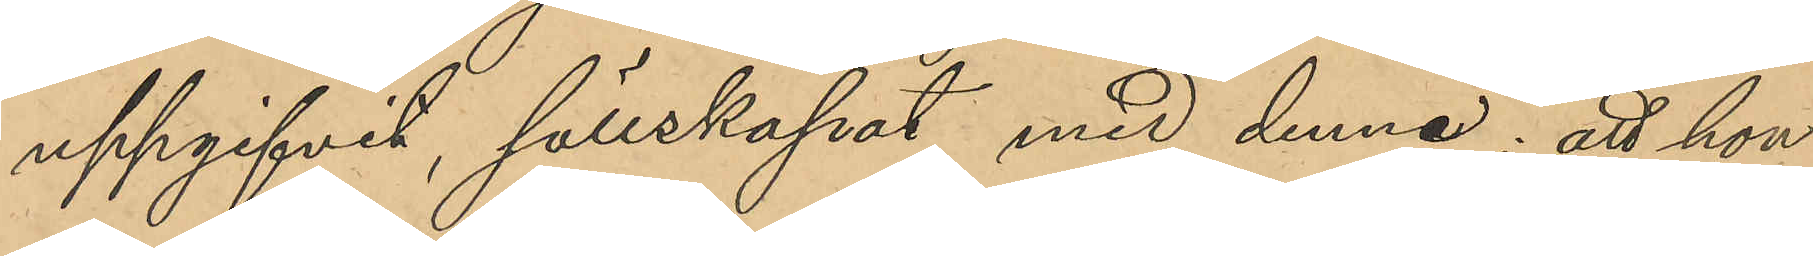uppgifvit, sällskapat med denne; att hon
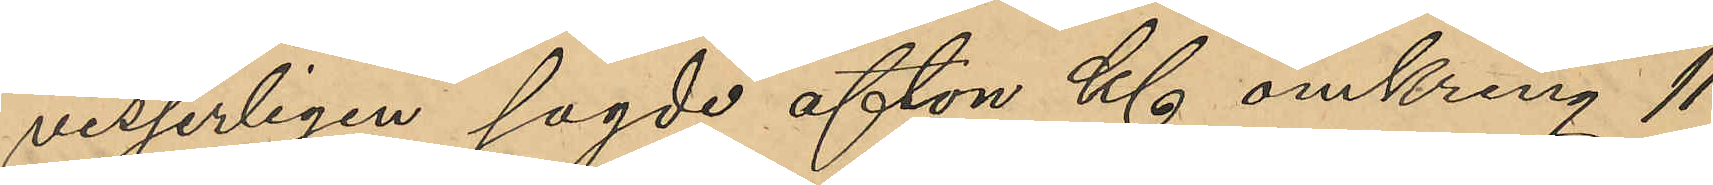visserligen sagde afton Kl omkring 11
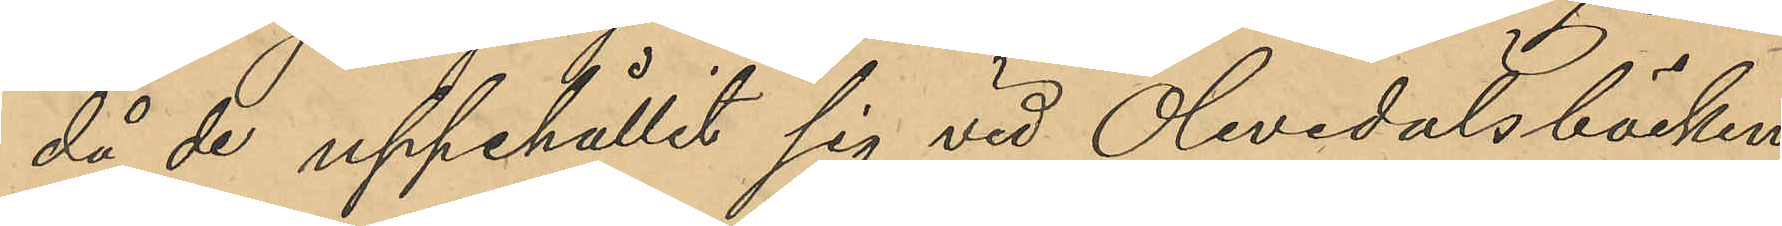då de uppehållit sig vid Olivedalsbäcken,
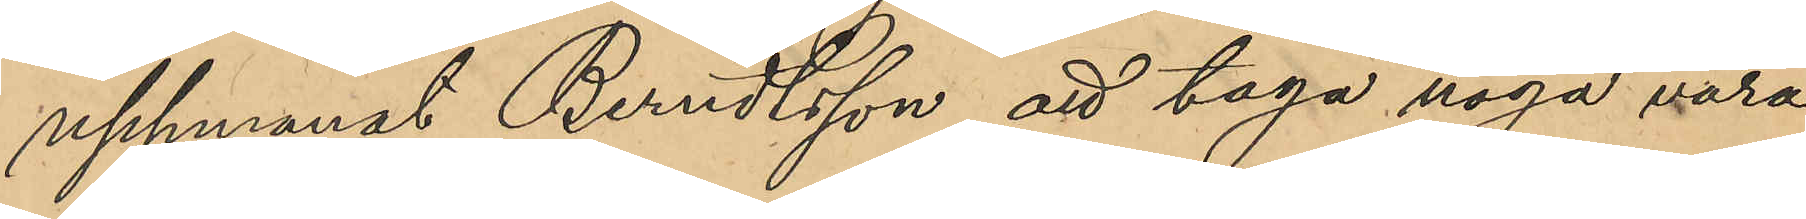uppmanat Berndtsson att taga noga vara
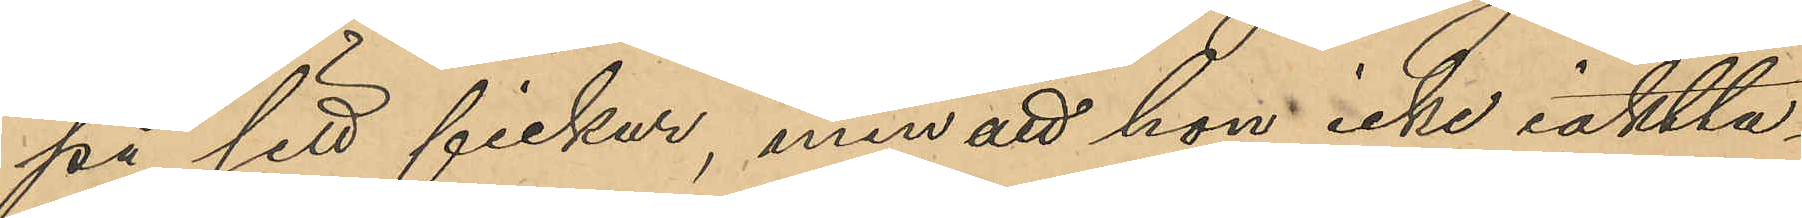på sitt fickur, men att hon icke iaktta¬
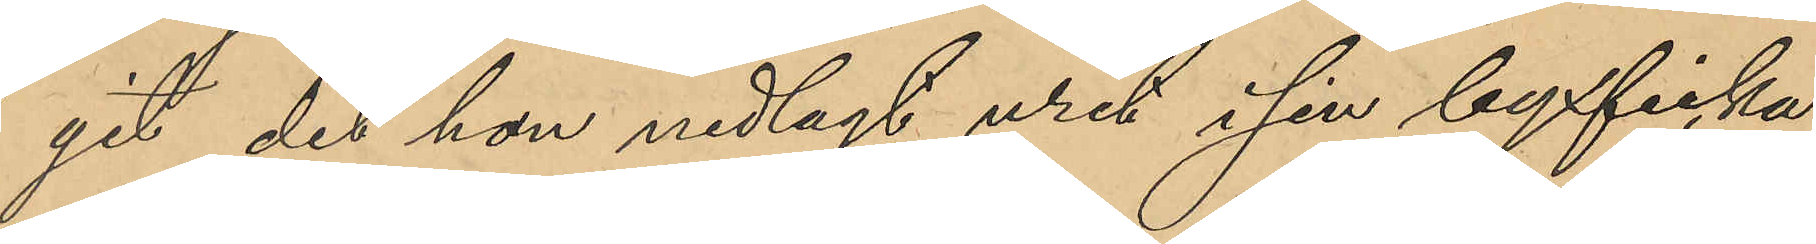git det han nedlagt uret i sin byxficka;
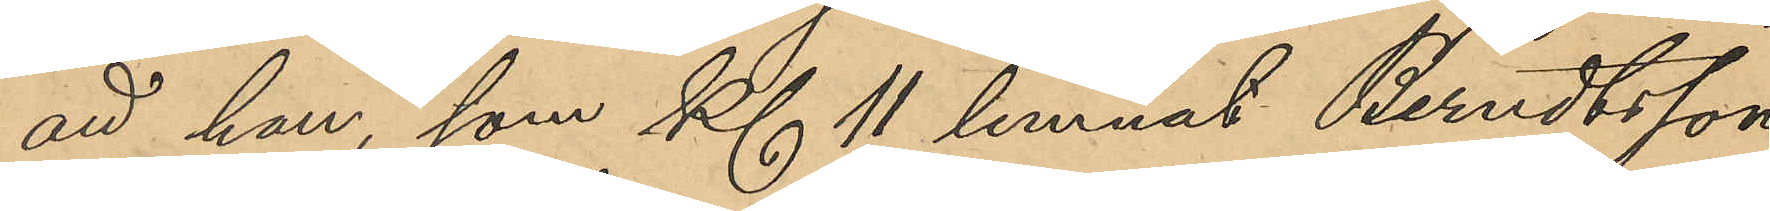att hon, som Kl 11 lemnat Berndtsson,
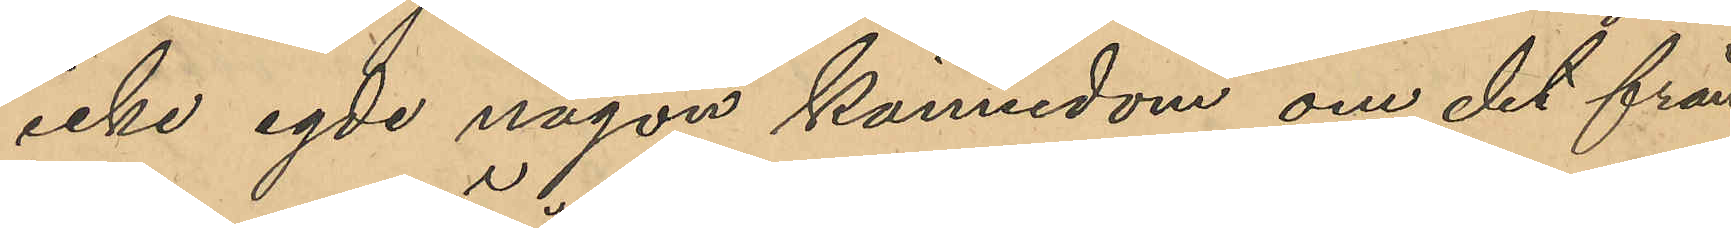icke egde någon kännedom om det från
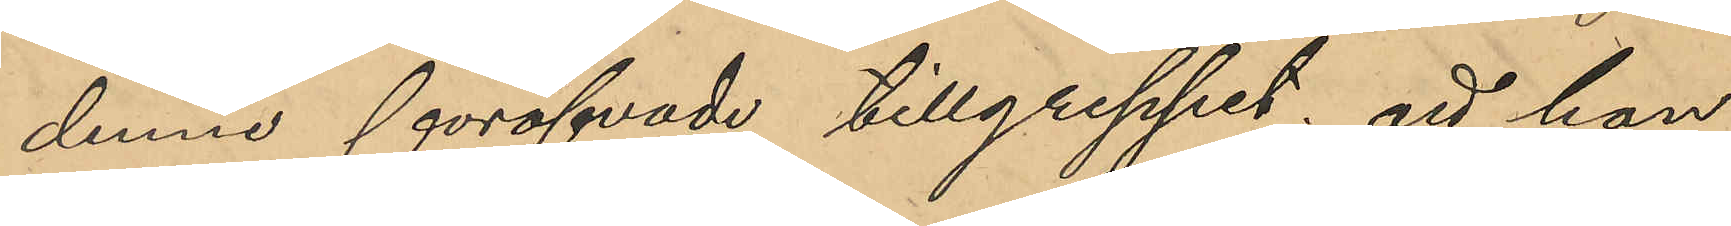denne föröfvade tillgreppet; att hon
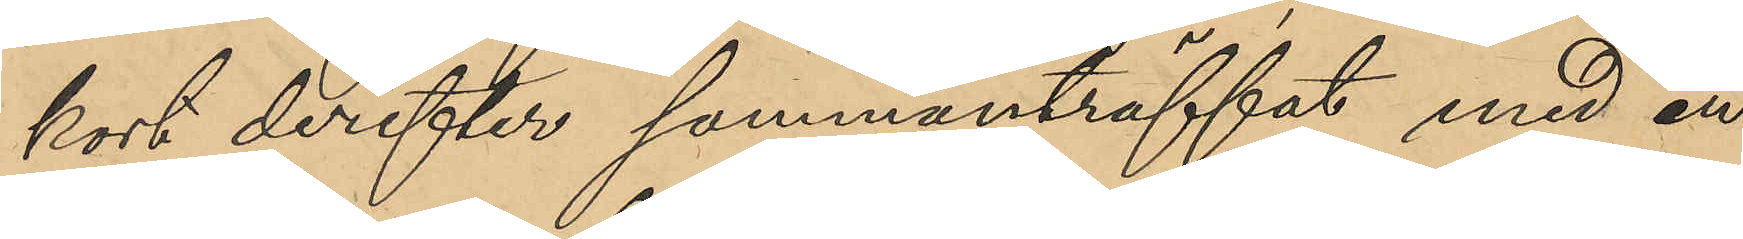kort derefter sammanträffat med en
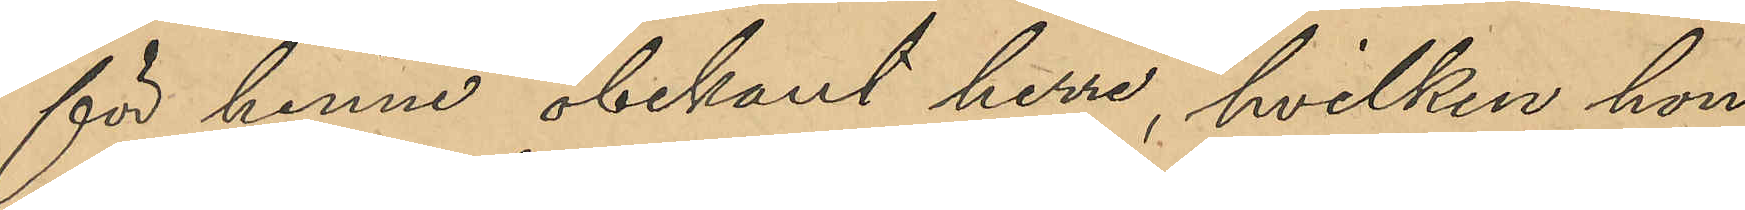för henne obekant herre, hvilken hon
